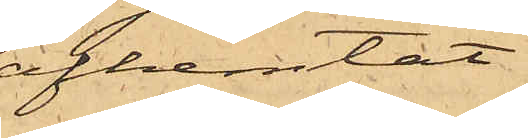afhemtat
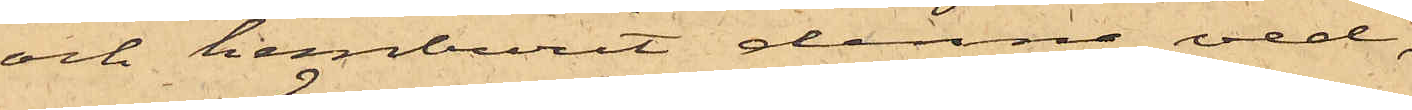och hemburit denna ved,
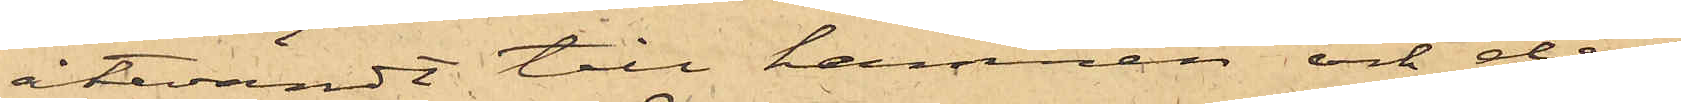återvändt till hamnen och der
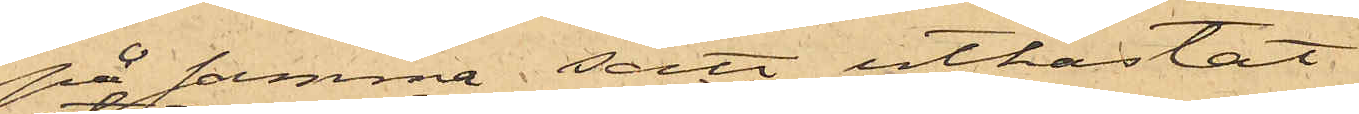på samma sätt utkastat
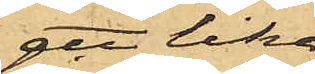ett lika
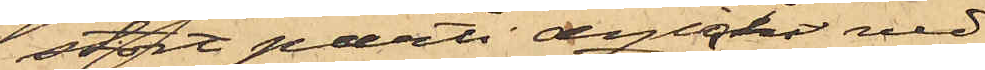stort parti dylik ved,
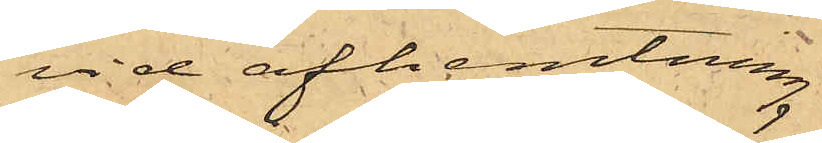vid afhemtning
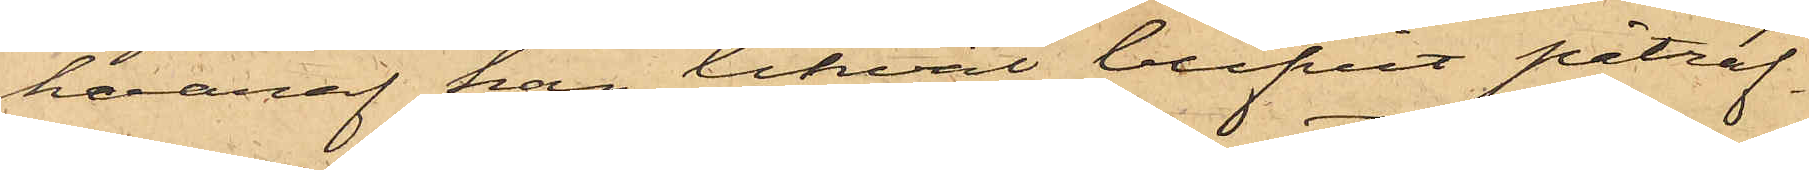hvaraf han likväl blifvit påträf¬
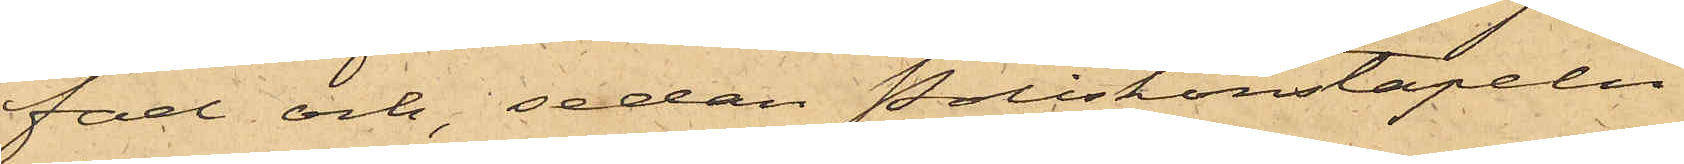fad och, sedan Poliskonstapeln
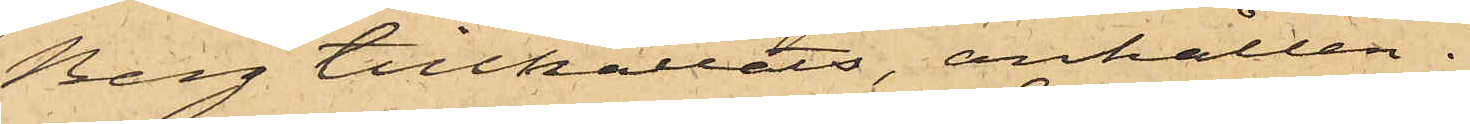Berg tillkallats, anhållen.
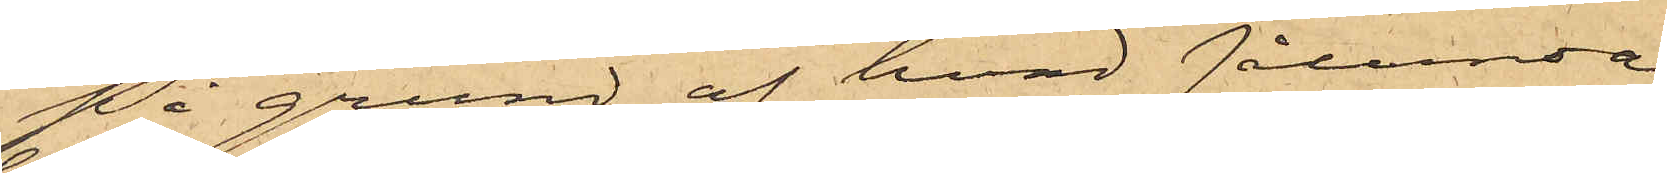På grund af hvad sålunda
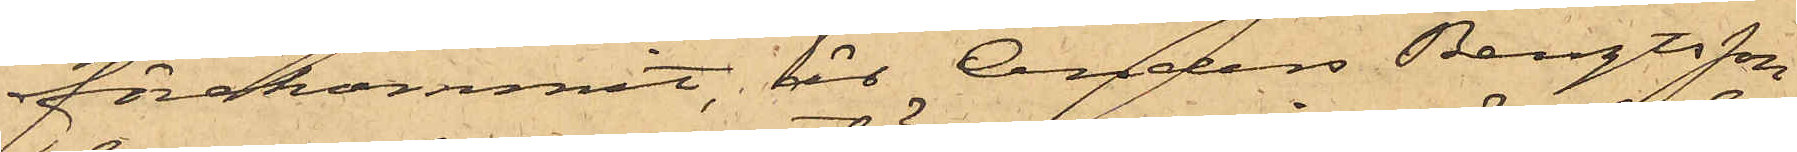förekommit, är Anders Bengtsson
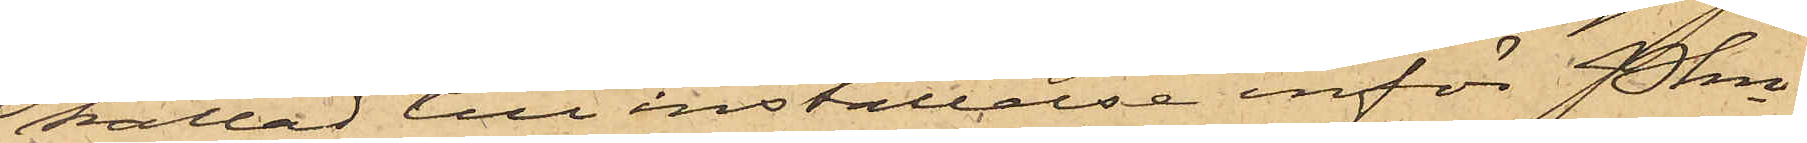kallad till inställelse inför Pkn
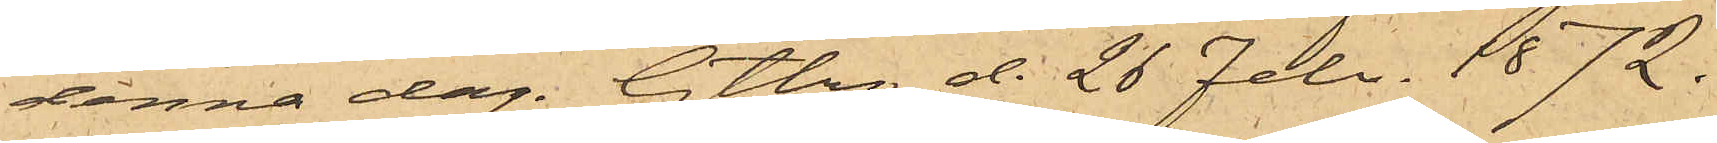denna dag. Gtbrg d. 28 Febr. 1872.
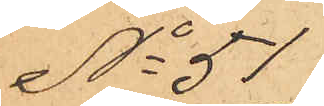No 51
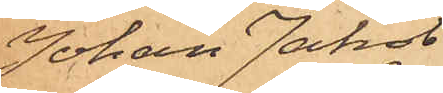Johan Jakob.
